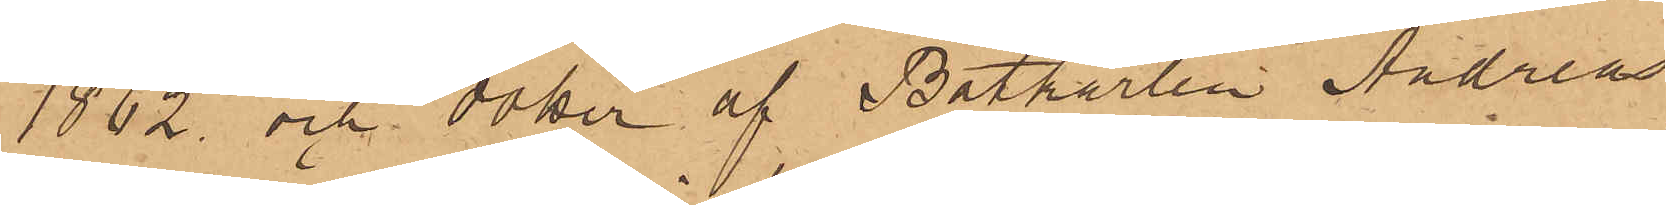1862 och dotter af Båtkarlen Andreas
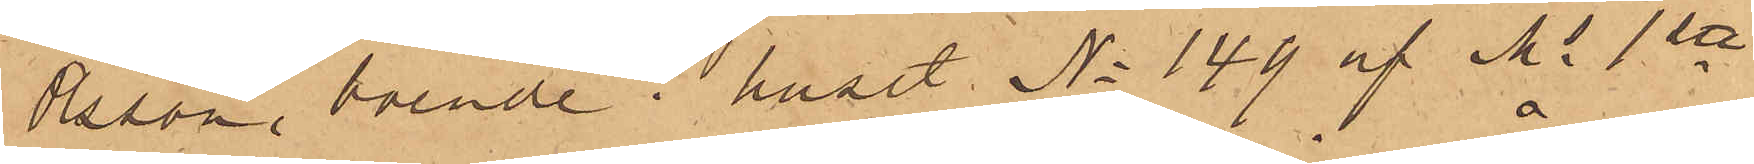Olsson, boende i huset No 149 af Ms 1ste
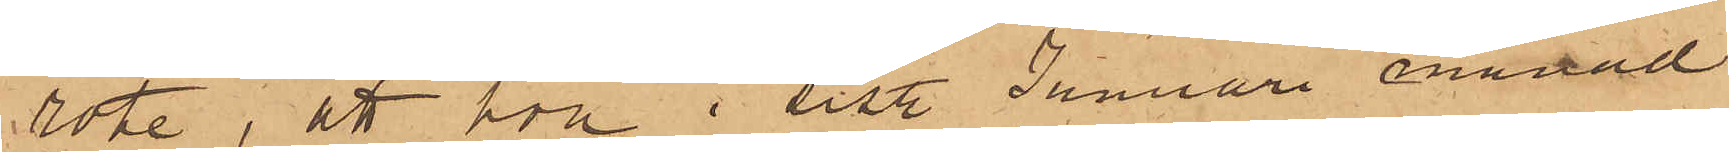rote, att hon i sist. Januari månad
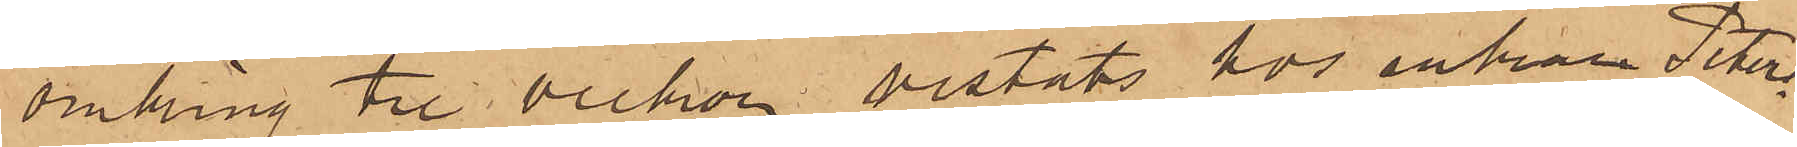omkring tre veckor vistats hos enkan Peters¬
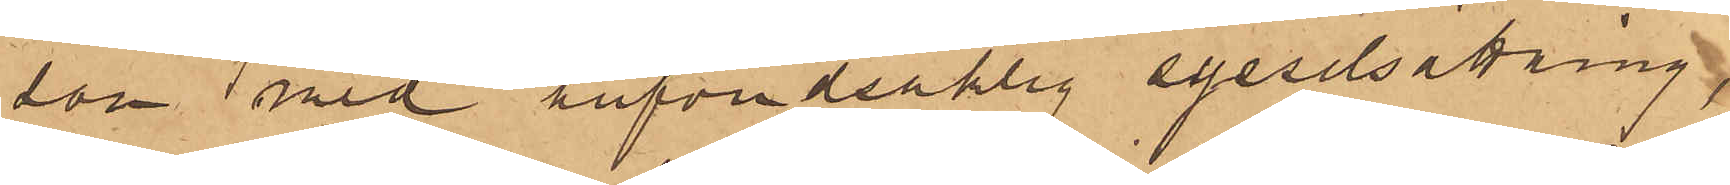son med hufvudsaklig sysselsättning
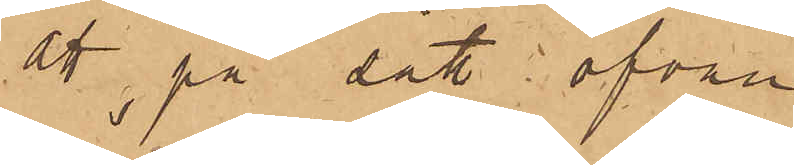at på sätt, ofvan
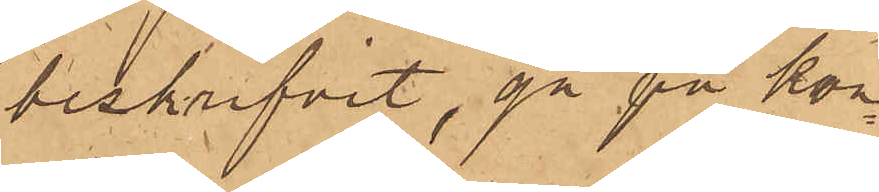beskrifvit, gå på kon¬
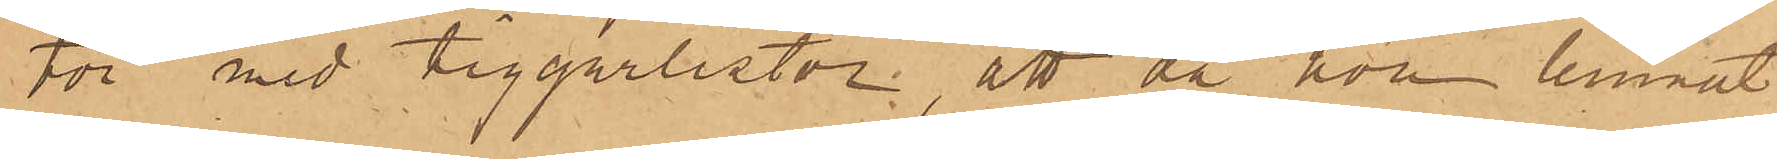tor med tiggarlistor, att då hon lemnat
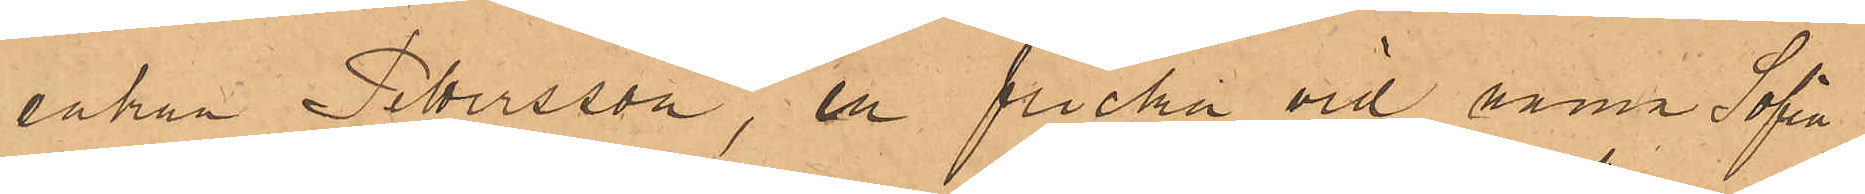enkan Pettersson, en flicka vid namn Sofia
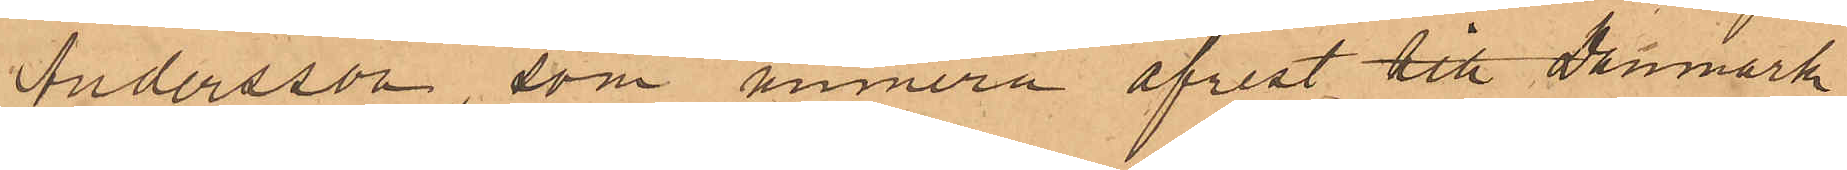Andersson, som numera afrest till Danmark,
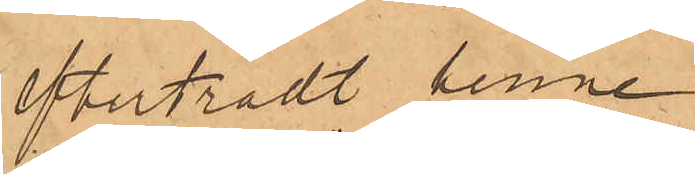efterträdt henne,
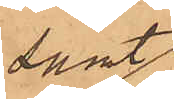samt
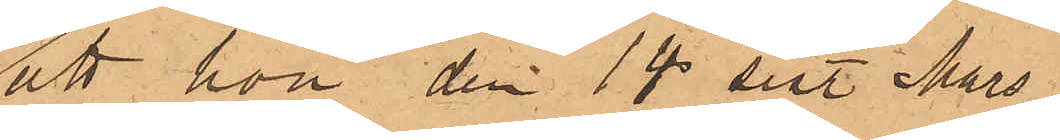att hon den 14 sist. Mars
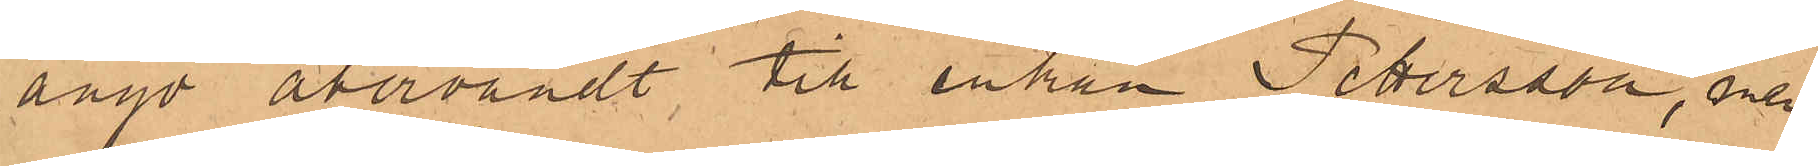ånyo återvändt till enkan Pettersson, men
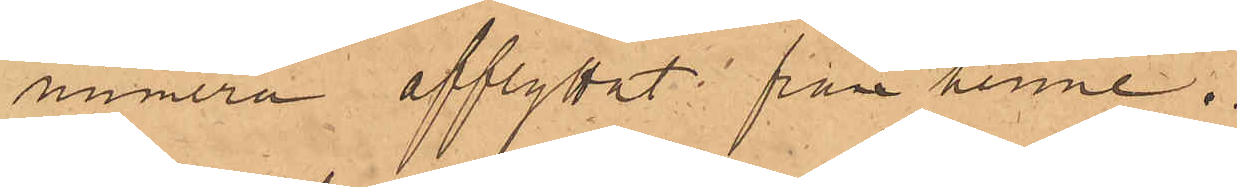numera afflyttat från henne.
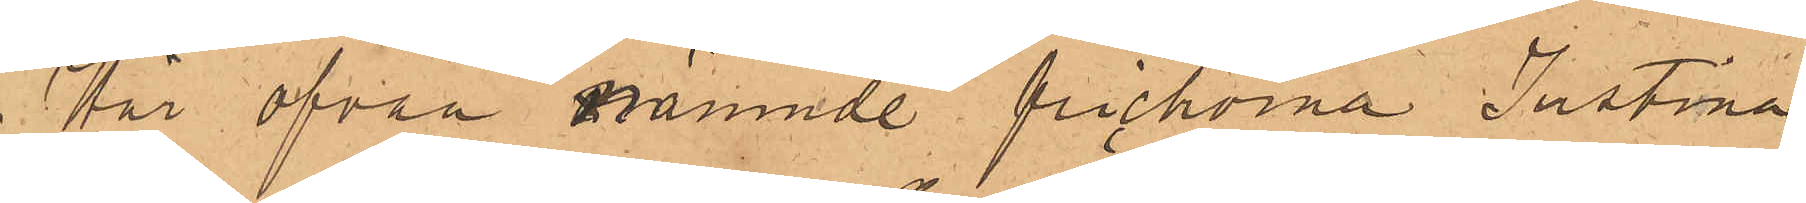För ofvan nämnde flickorna Justina
